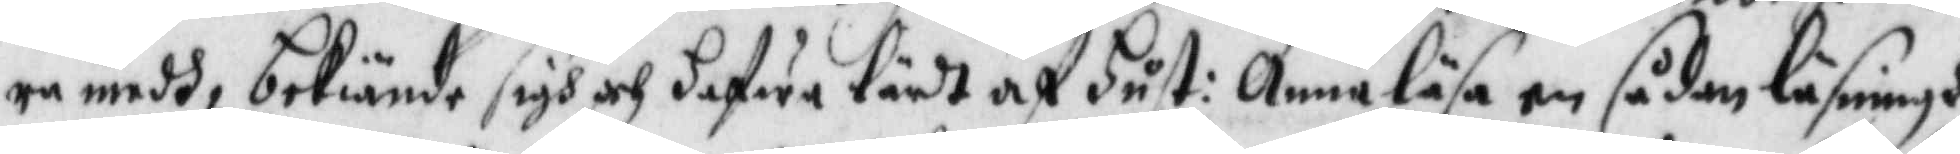ra medh, bekiände sigh och hafwa lärdt af Hust: Anna läsa en sådan läsningh
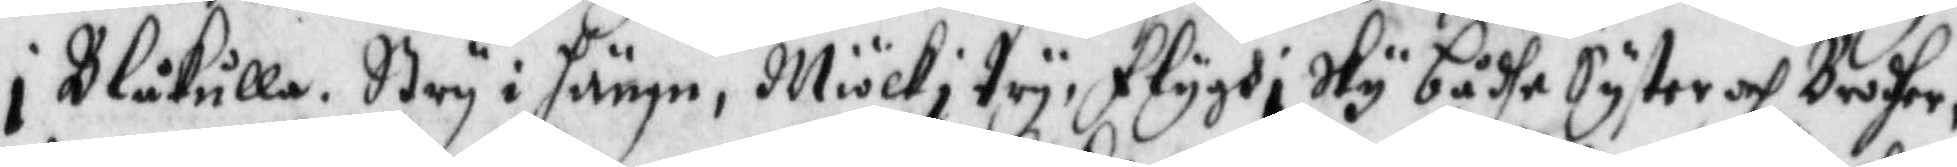i Blåkulla. Stry i hängn, Miölk i try, flygh i Sky bådhe Syster och Brodher;
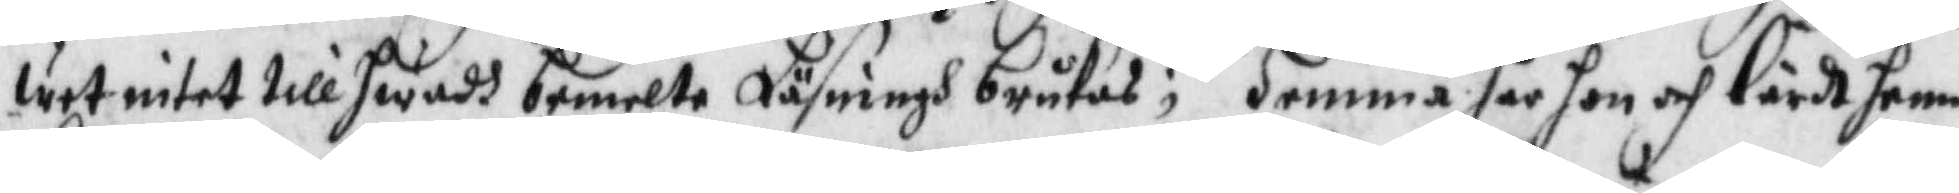wet intet till hwadh bemelte Läsningh brukas; Hemma har hon och lärdt henne
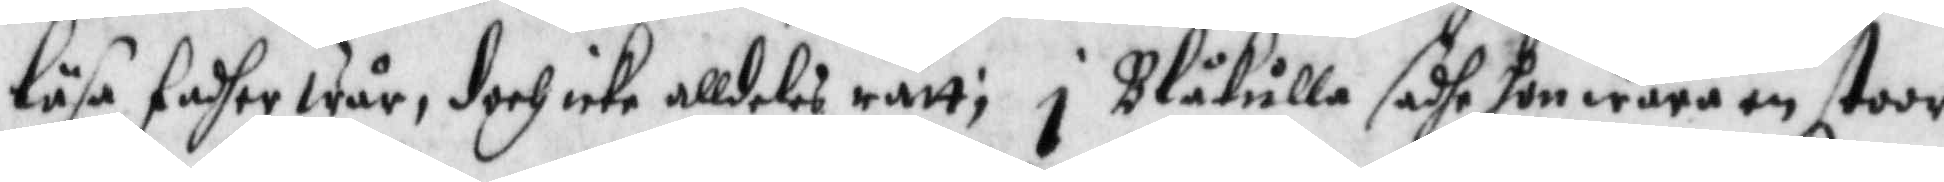läsa fadher wår, doch icke alldeles rätt; i Blåkulla sadhe hon wara en stoor
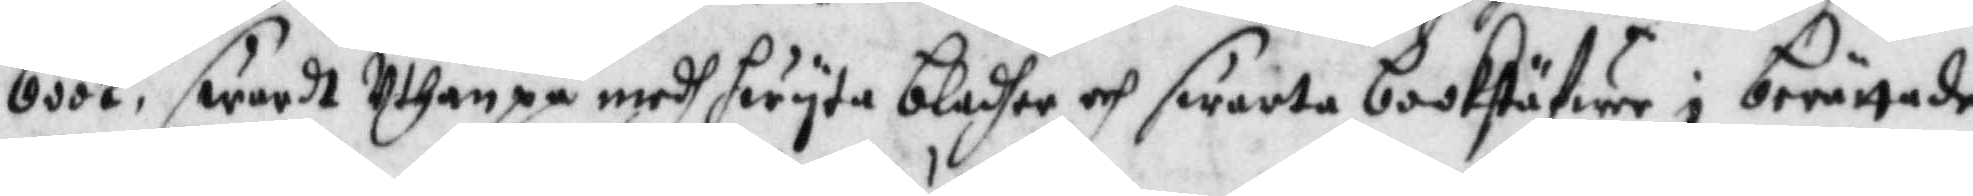book, swardt Uthanpå medh hwyta bladher och swarta bookstäfwer; berättade
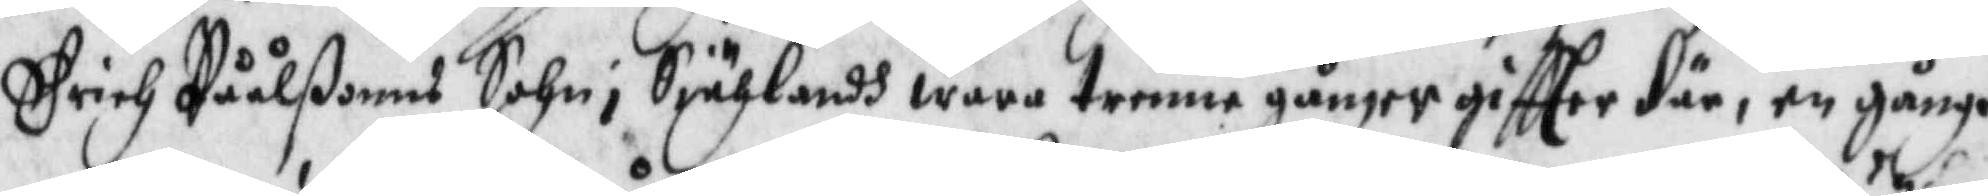Erich Påålßonns Sohm i Siählands wara trenne gånger giftter där, en gångh
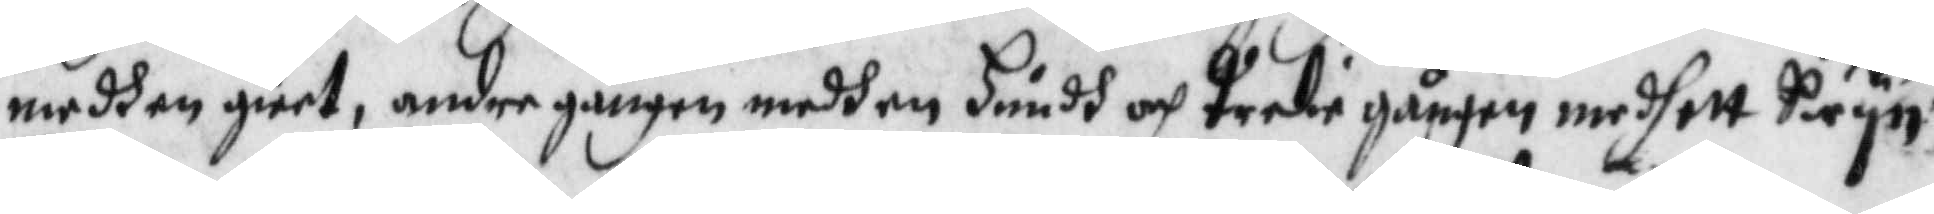medh en giet, andre gången medh en Hundh och tedie gången med etSwyn,
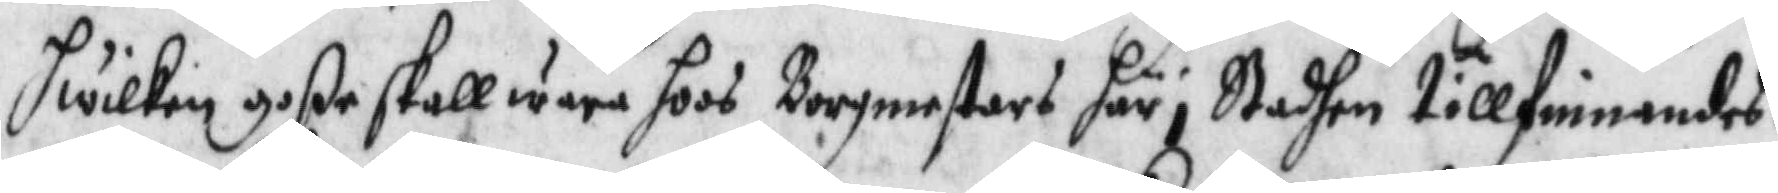hwilken goße skall wara hoos Borgmestare här i Stadhen tillfinnandes.
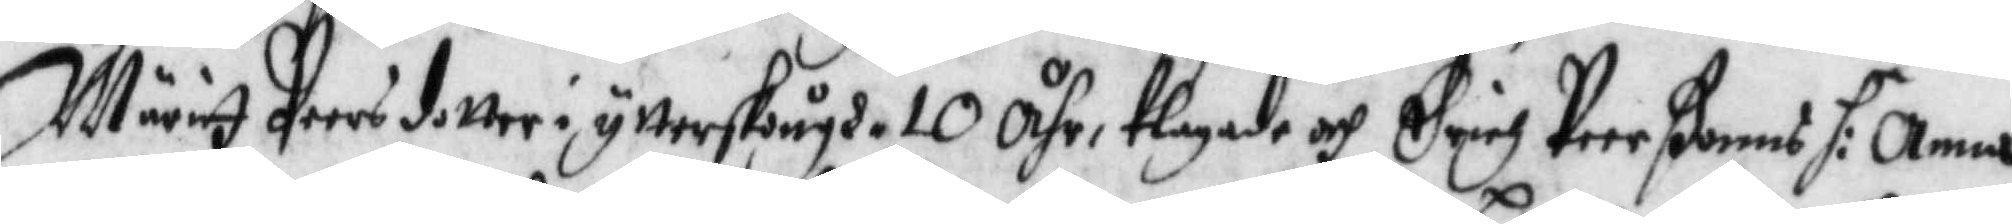Märitt Peers dotter i ytterskough 10 Åhr, klagade och Erich Peerßonns H: Anna
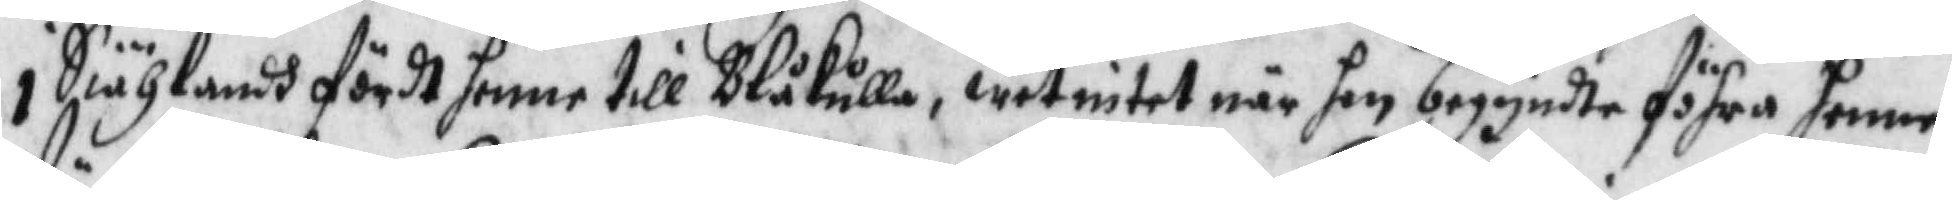i Siählandh fördt henne till Blåkulla, wet intet när hon begynte föhra henne,
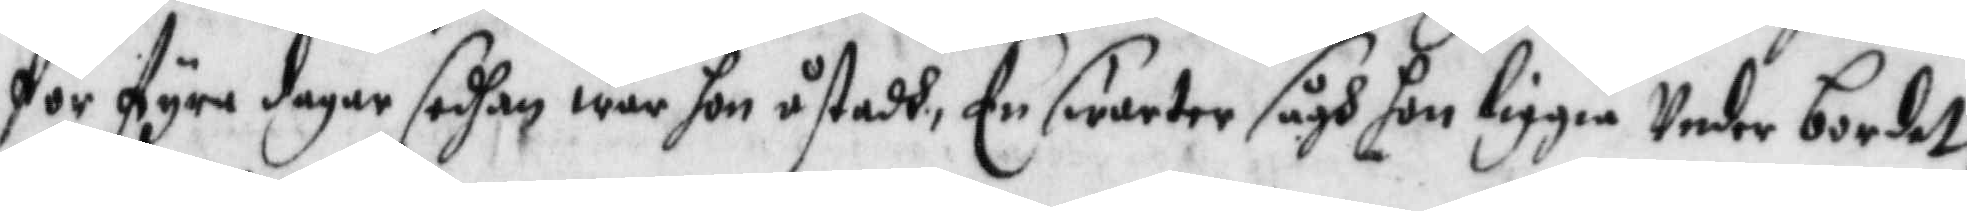för fyra dagar sedhan war hon åstadh, En swarter sågh hon liggia Under bordet,
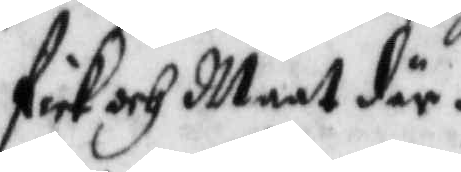fick och Maat där.
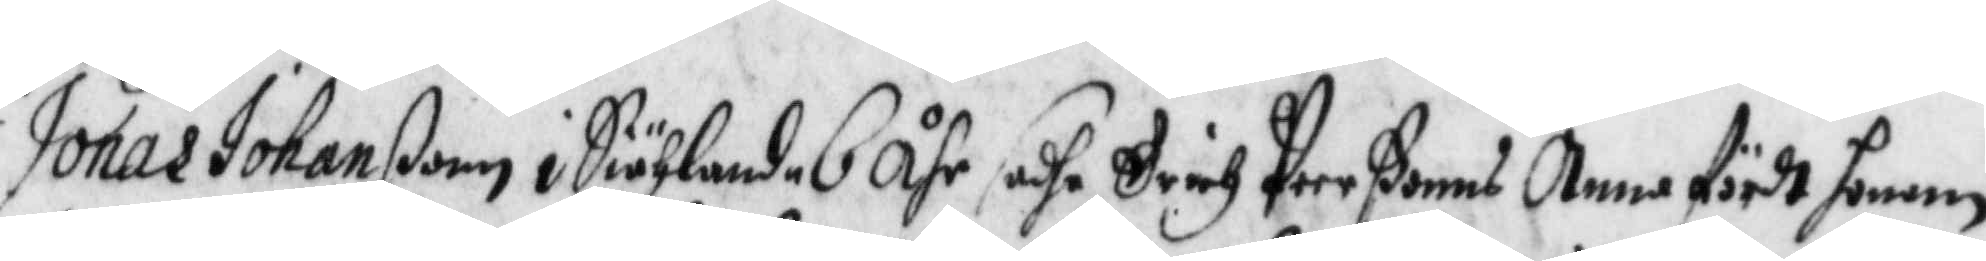JohanJohanßonn i Siähland 6 Åhr sadhe Erich Peerßonns Anna fördt honom
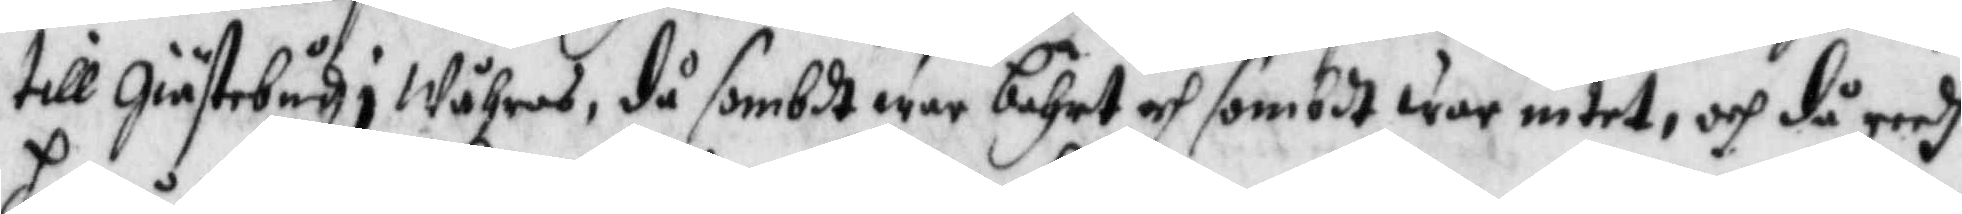till giästebudh i Wåhrens, då sombdt war bahrt och sombdt war intet, och då reedh
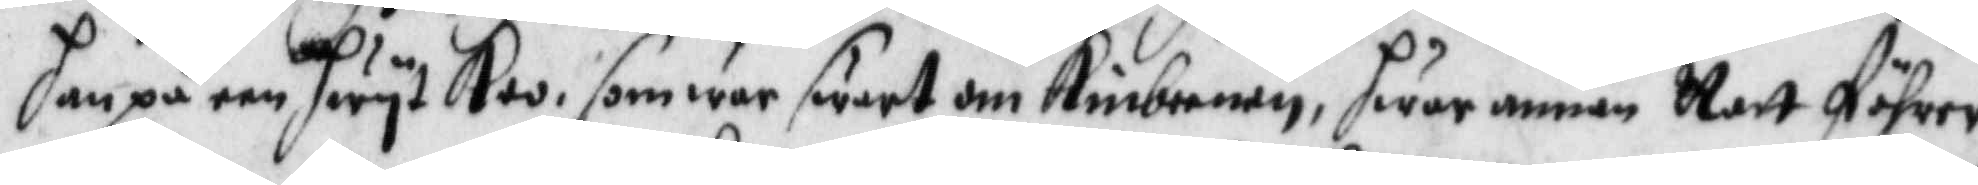han på een hwyt Koo, som war swart om Kinbenen, hwar annan Natt föhrer
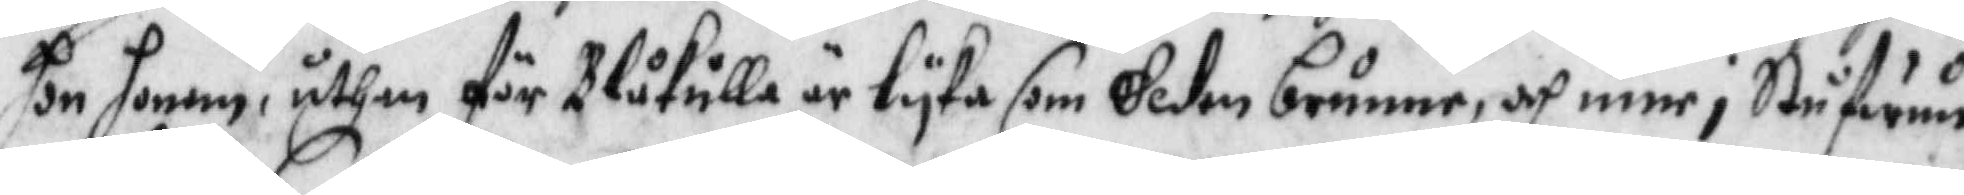hon honom, uthan för Blåkulla är lyka som Elden brunne, och inne i Stufwun
